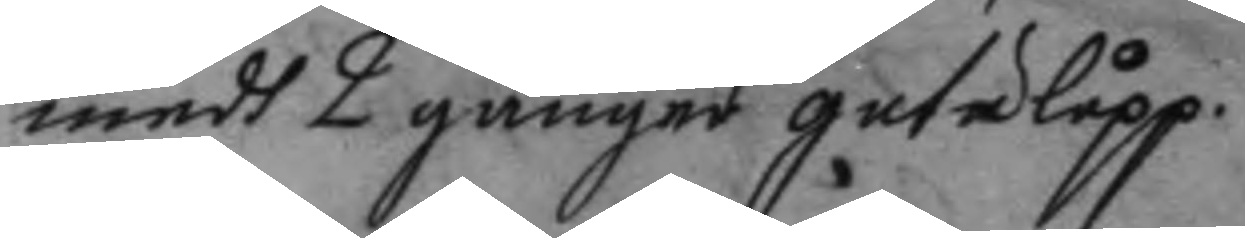medh 2 gånger gatulåpp.
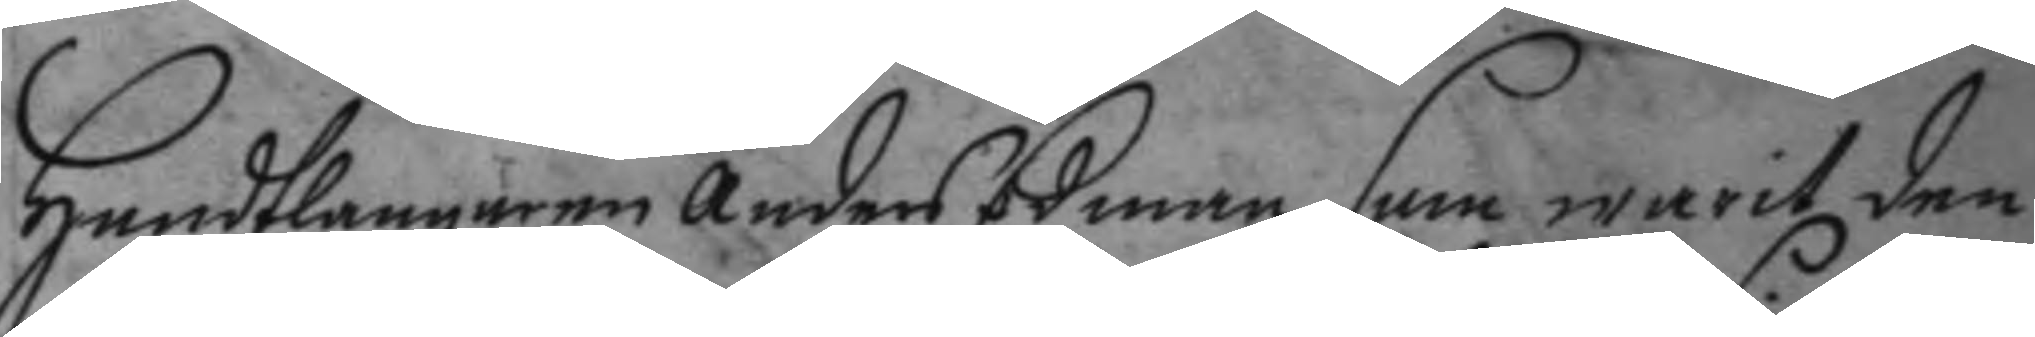handtlangaren Anders Edman som warit den
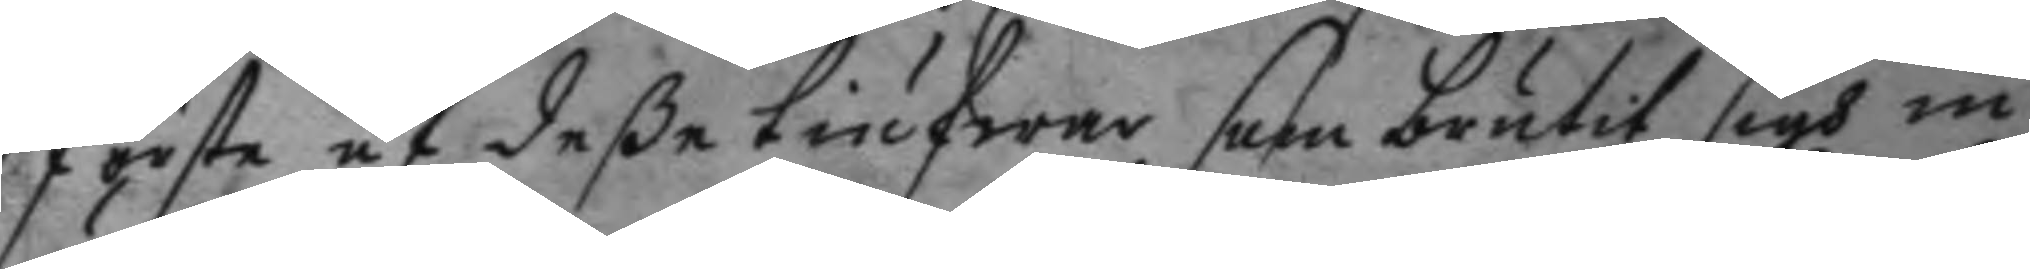första af deße tiufwar som brutit sigh in
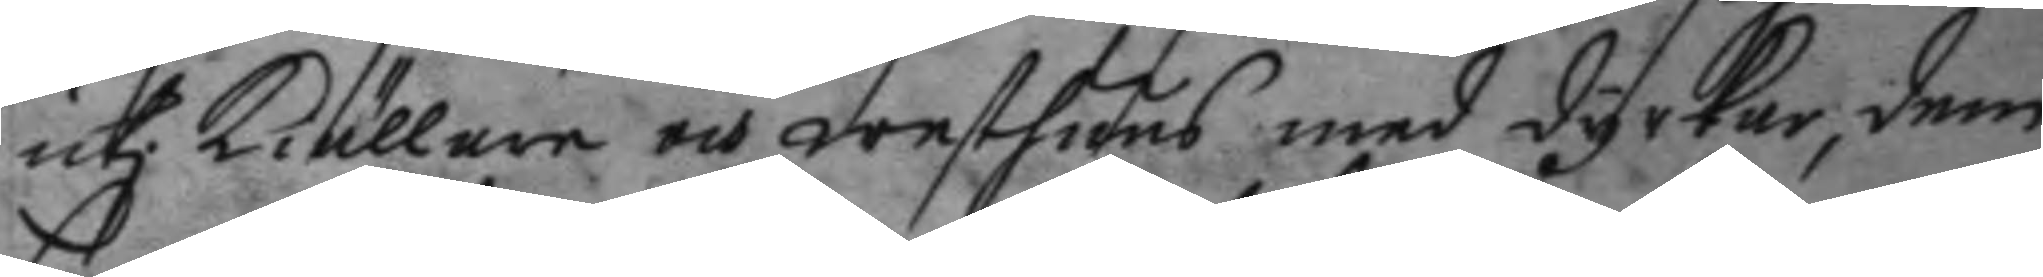uti kiällaren och westhuus med dyrkar, dem
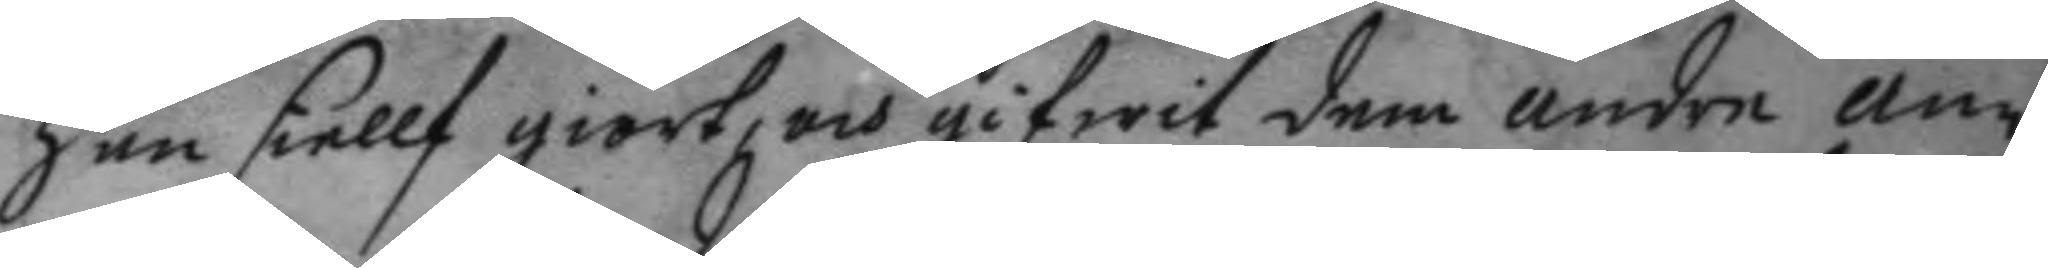han siellf giort, och gifwit dem andre an¬
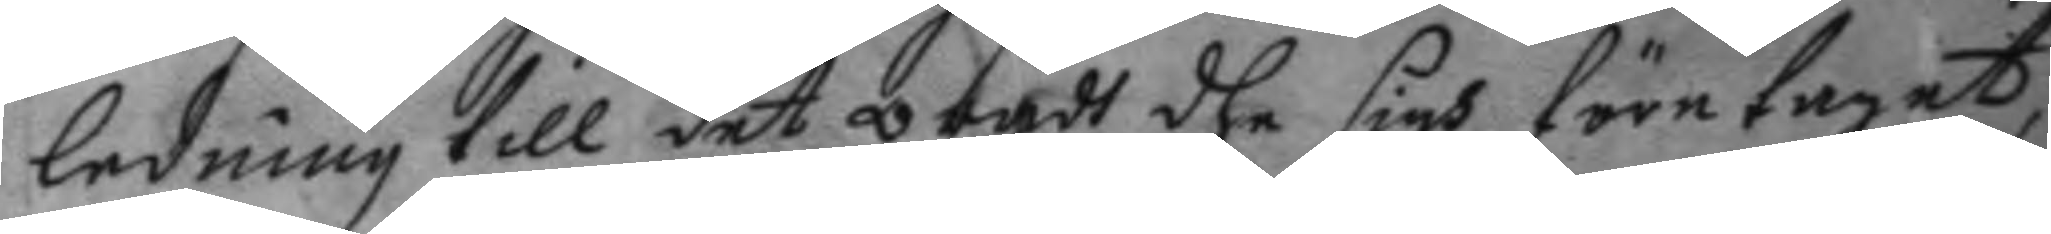ledning till det orådt dhe sigh företagit,
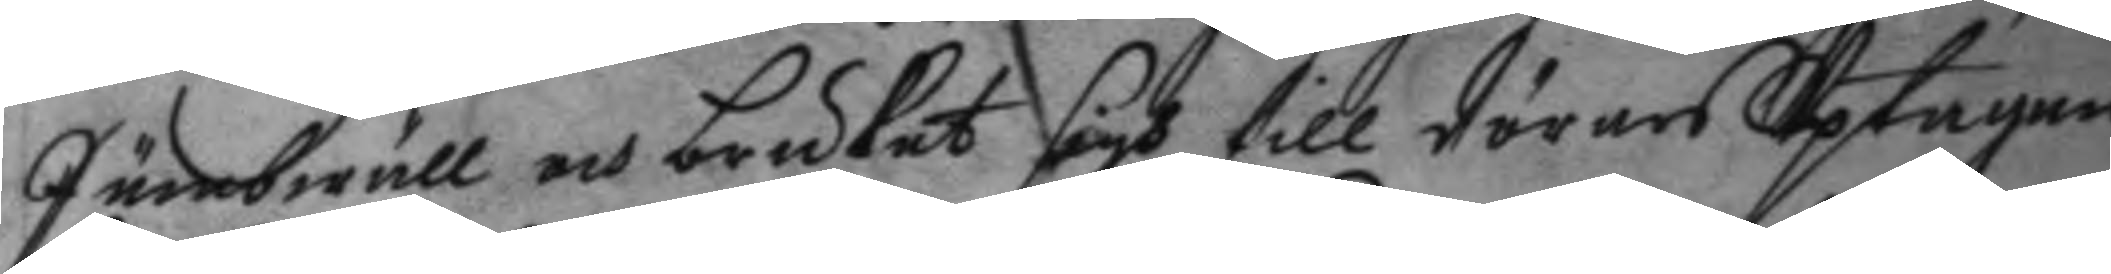Jämbwäll och brukat sigh till dörars Uptagan,
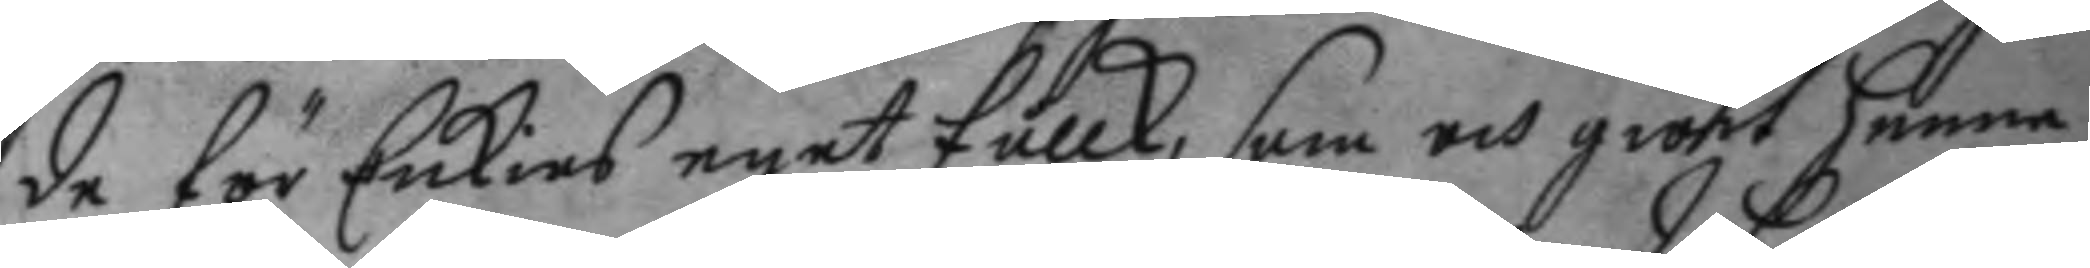de för Enkias eget fållk, som och giort henne
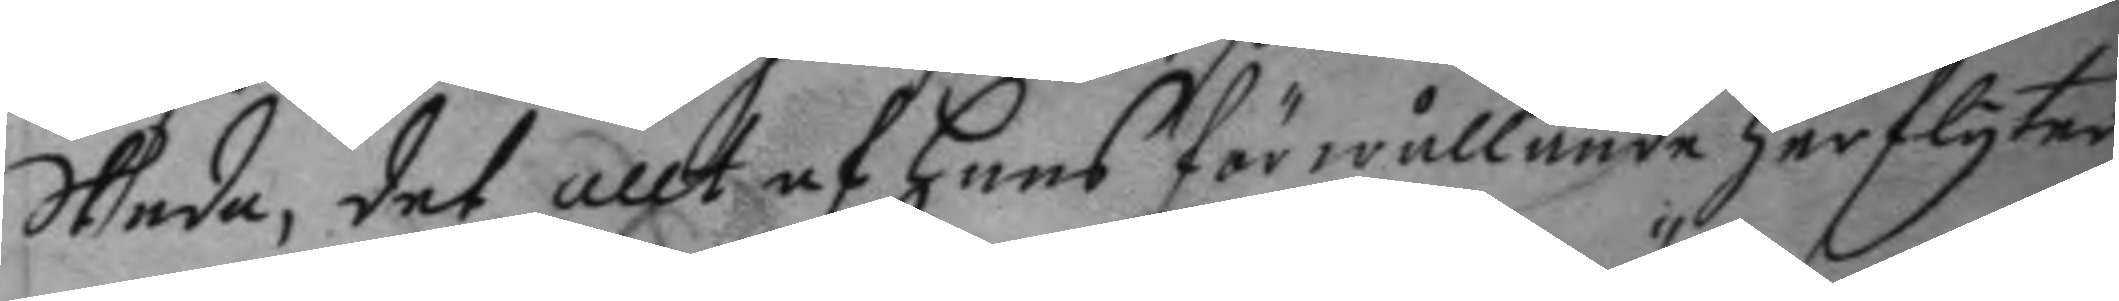Skada, det allt af hans förwållande herflyter,
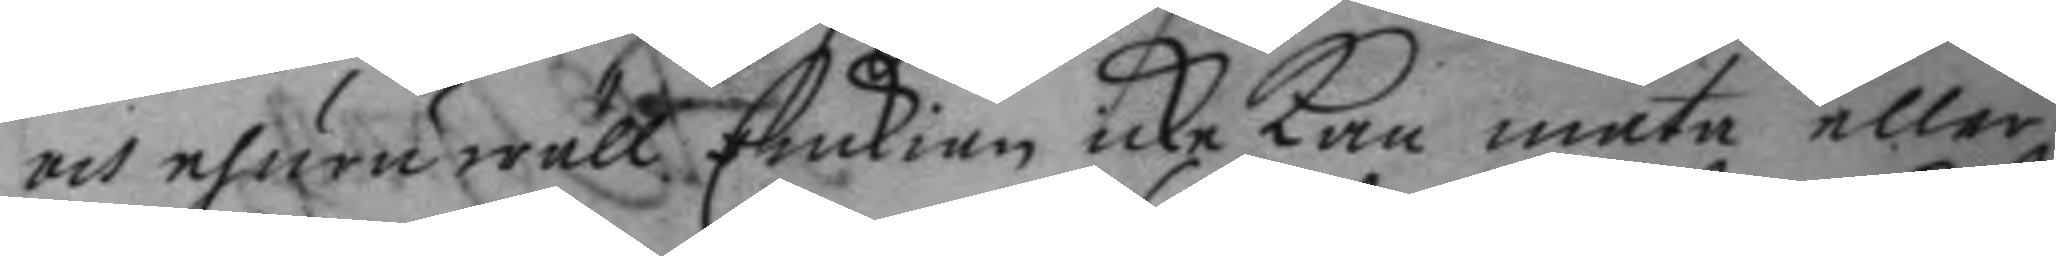och ehuruwäll Enckian icke kan mäta eller
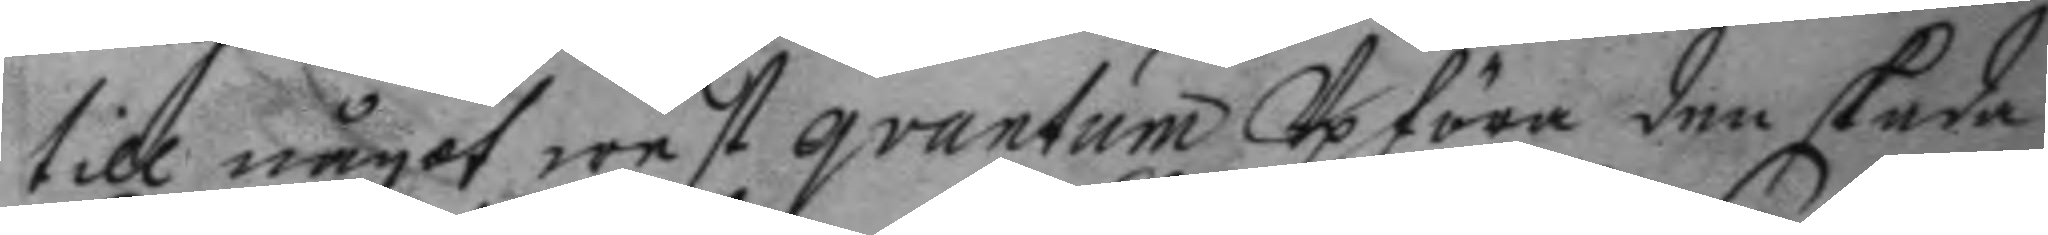till något west qvantum Upföra den skada
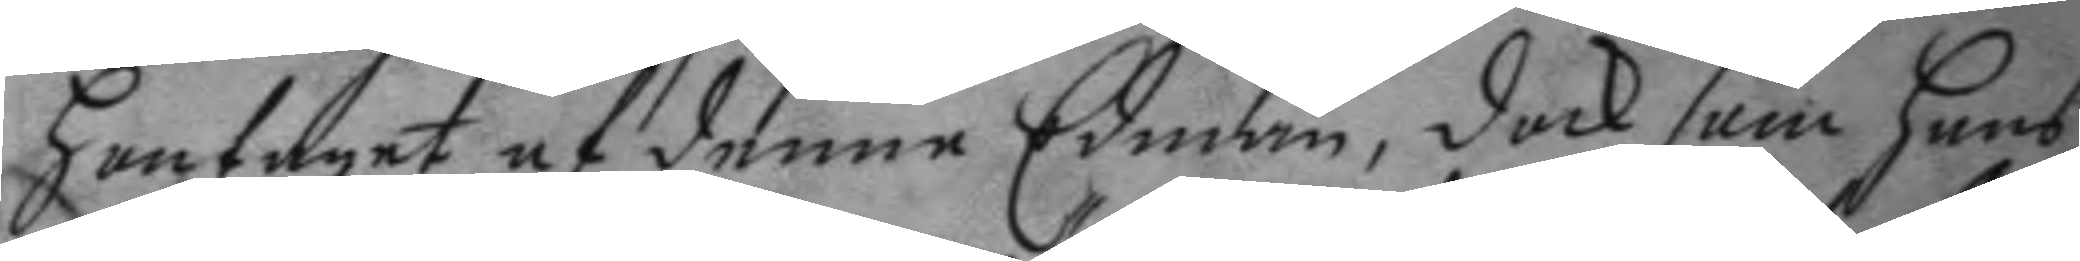hon taget af denne Edman, dock som hans
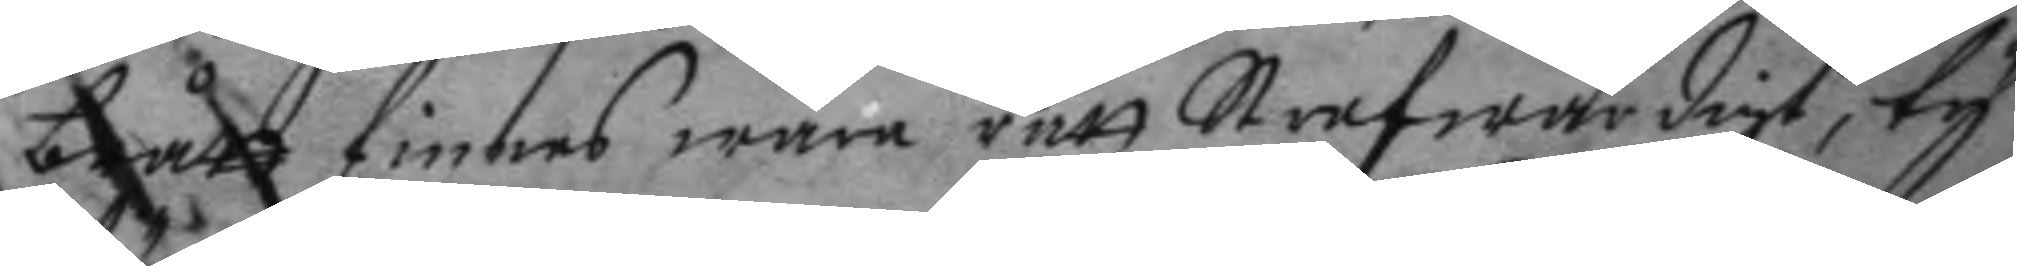brått finnes wara rätt Strafwärdigt, ty
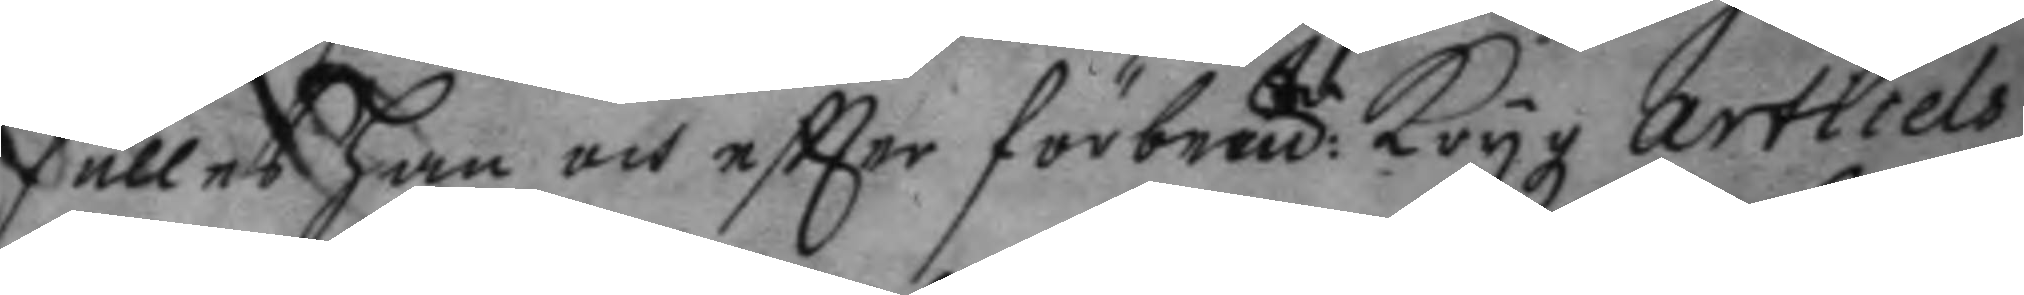fälles han och eftter förbem:te Krygz articels
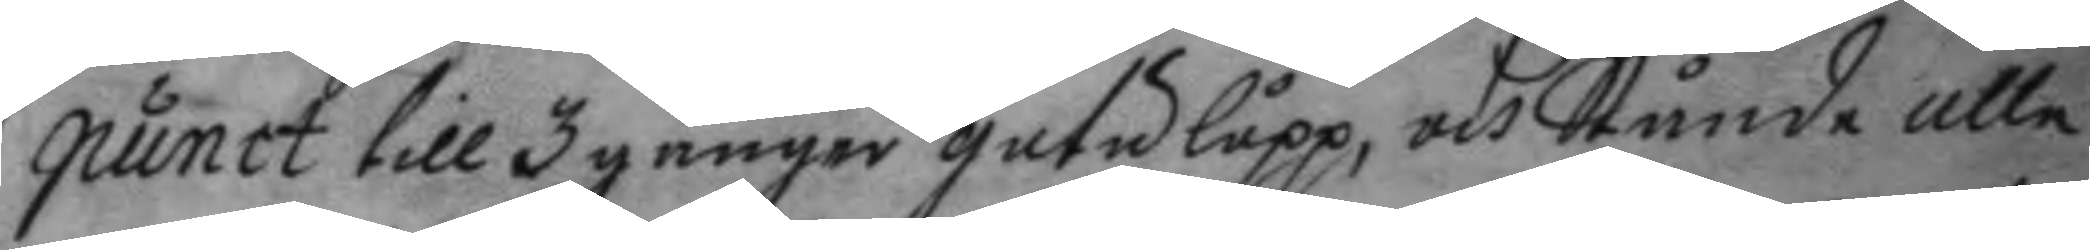punct till 3 gånger gatulopp, och Stånde alle
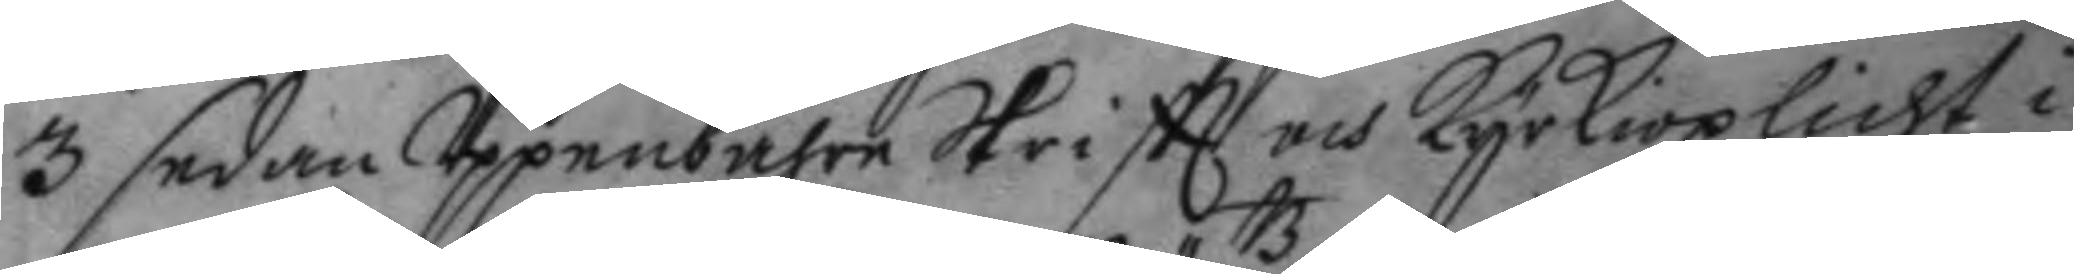3 sedan Uppenbahr Skriftt och kyrkioplicht i
